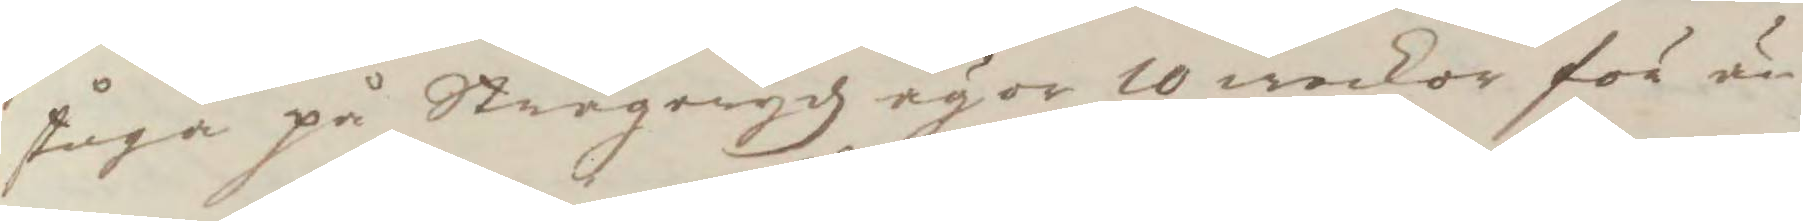stuga på Strågerydz ägor 10 weckor för än
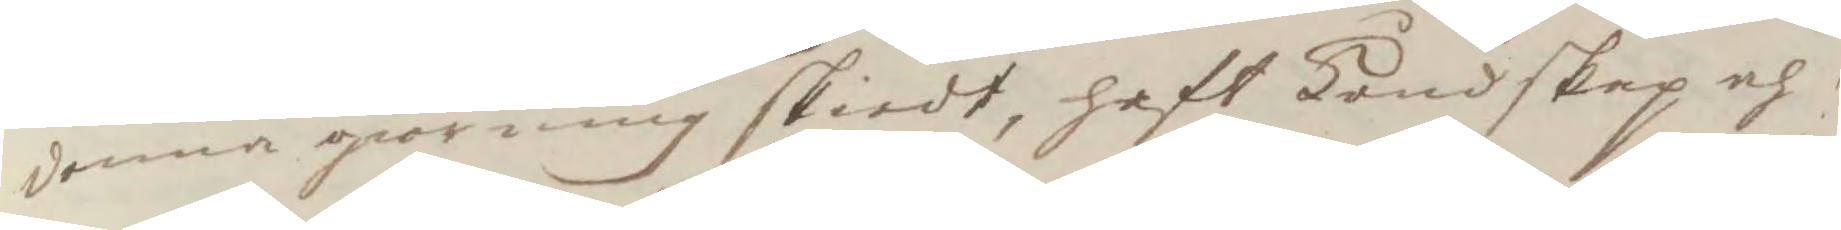denna giorning skiedt, haft Kundskap och
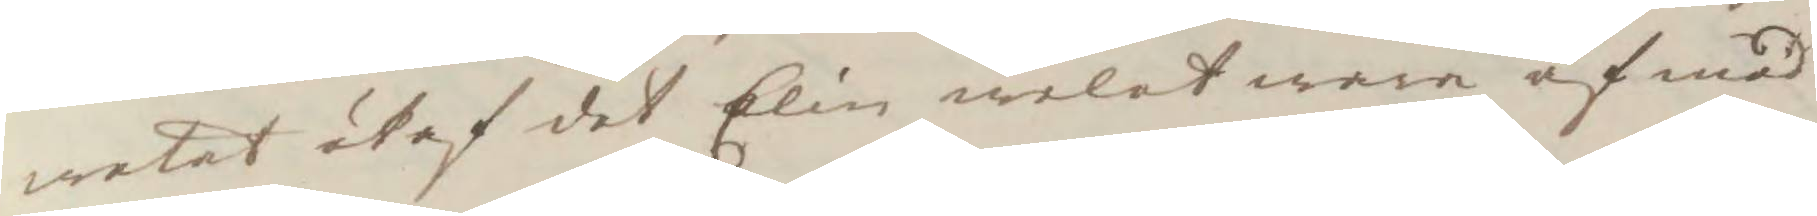wetat utaf det Elin welat wara af med
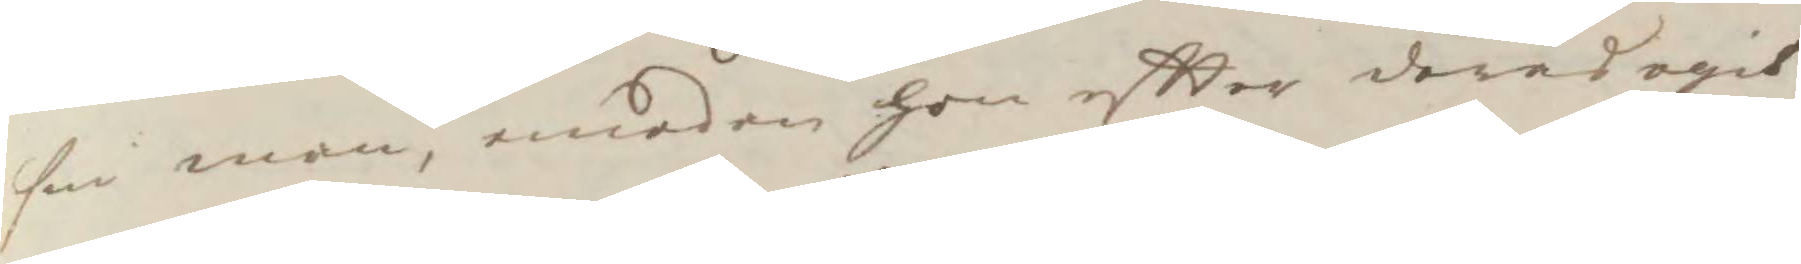sin man, emedan hon eftter deras egit
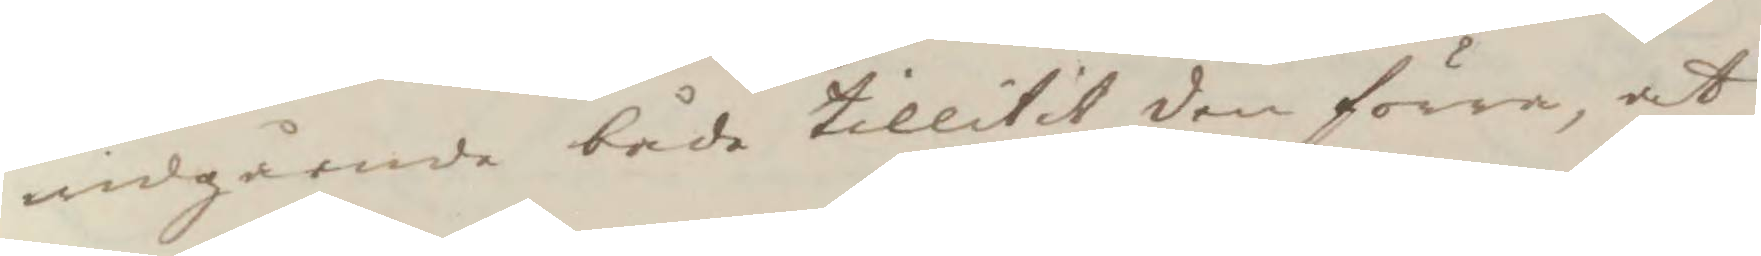widgående både tillitit den förre, at
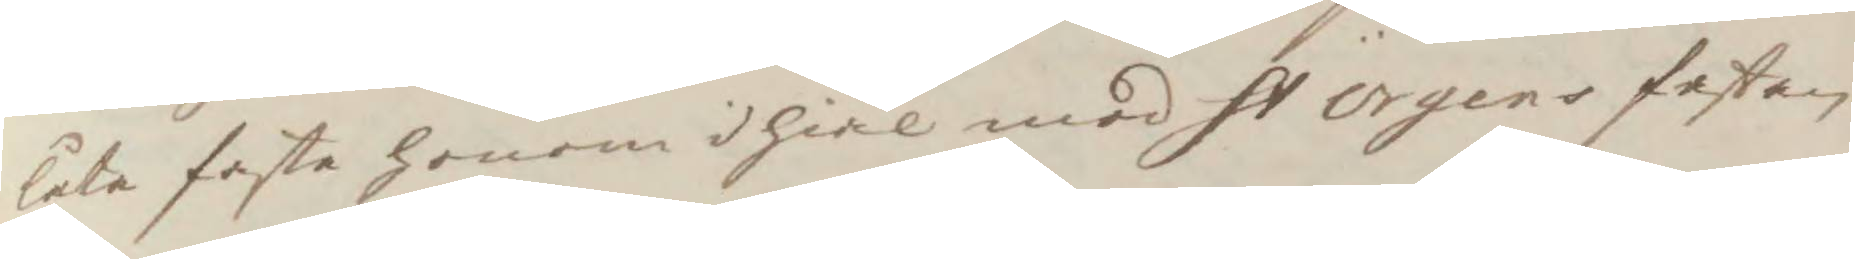låta faste honom ihiäl med St Örgens fastan 
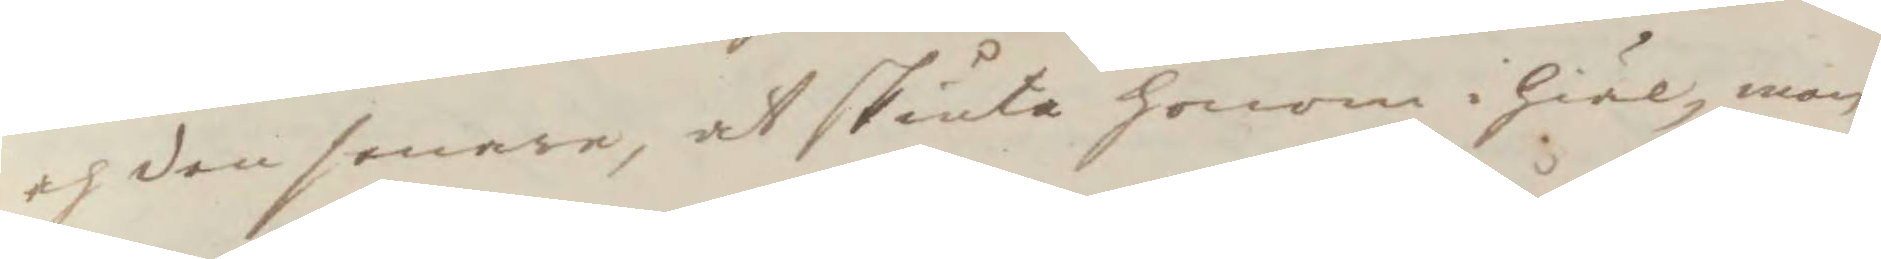och den senare, at skiuta honom i hiäl, men
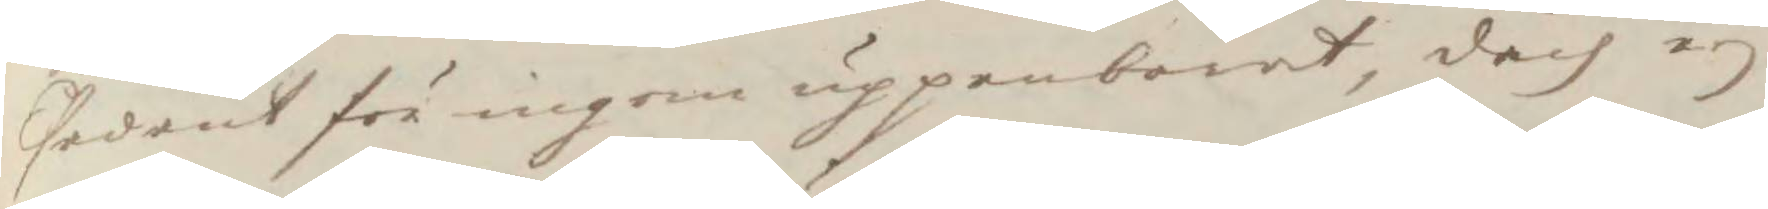sedant för ingen uppenbarat, doch ey
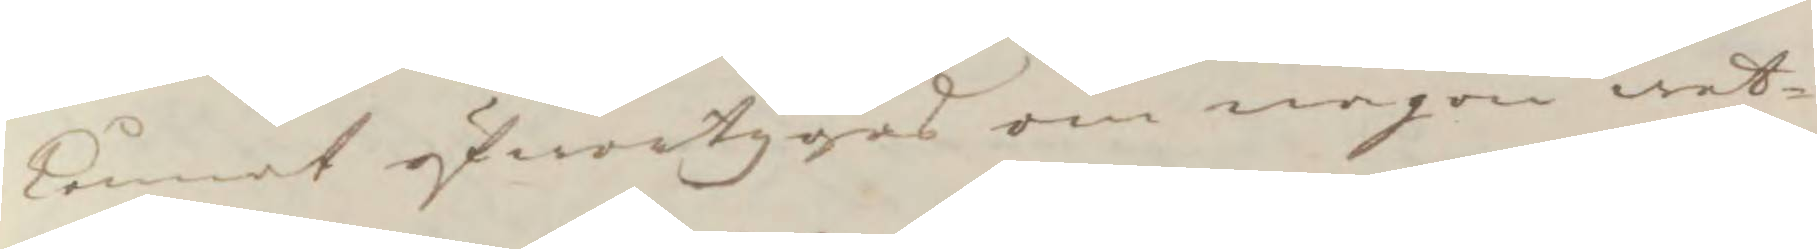kunnat öfwertygas om någon wet¬
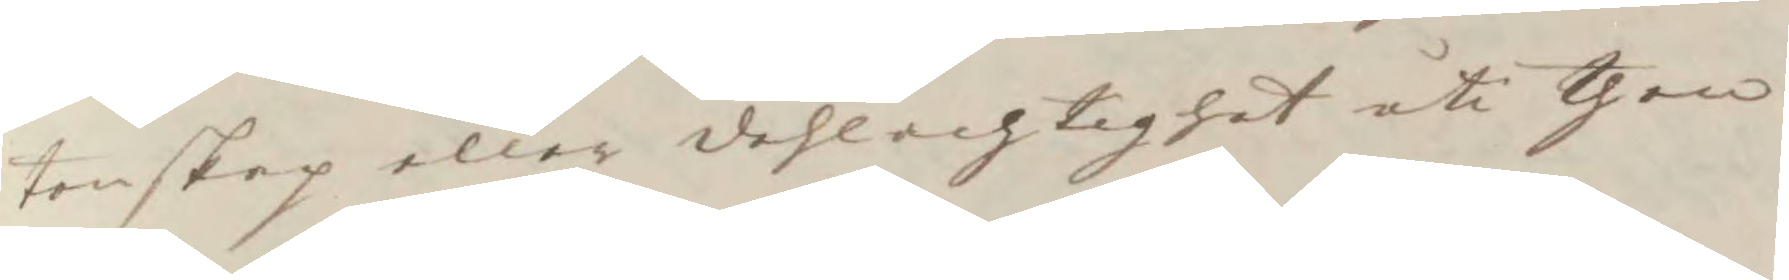tenskap eller dehlachtighet uti then
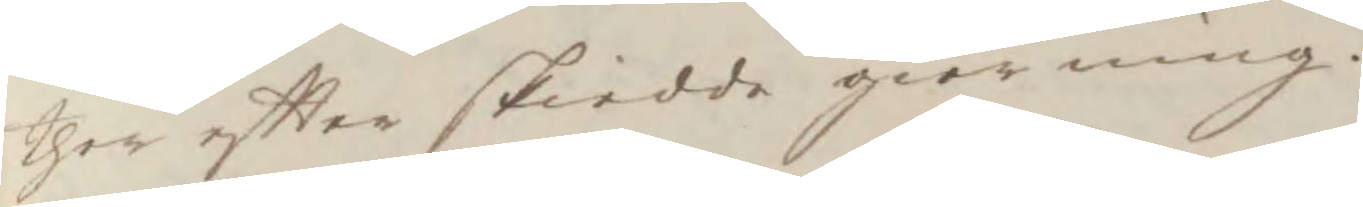ther eftter skiedde giorning.
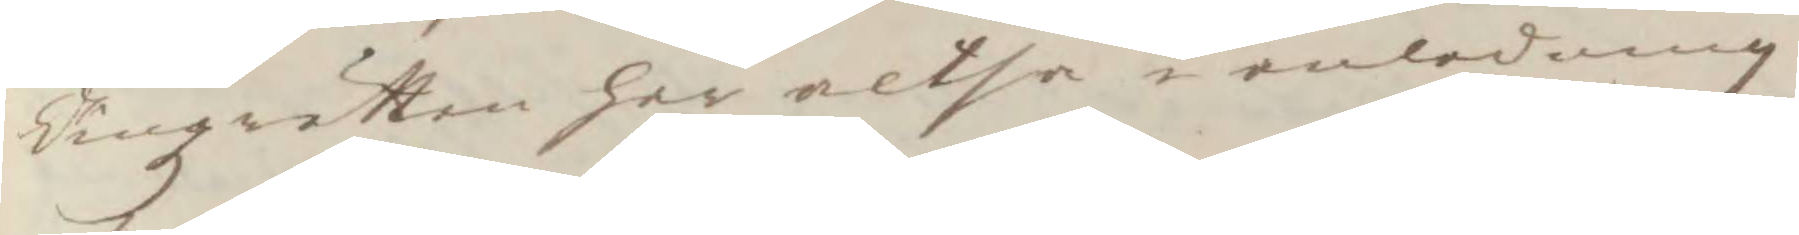Tingzrätten har altså i anledning
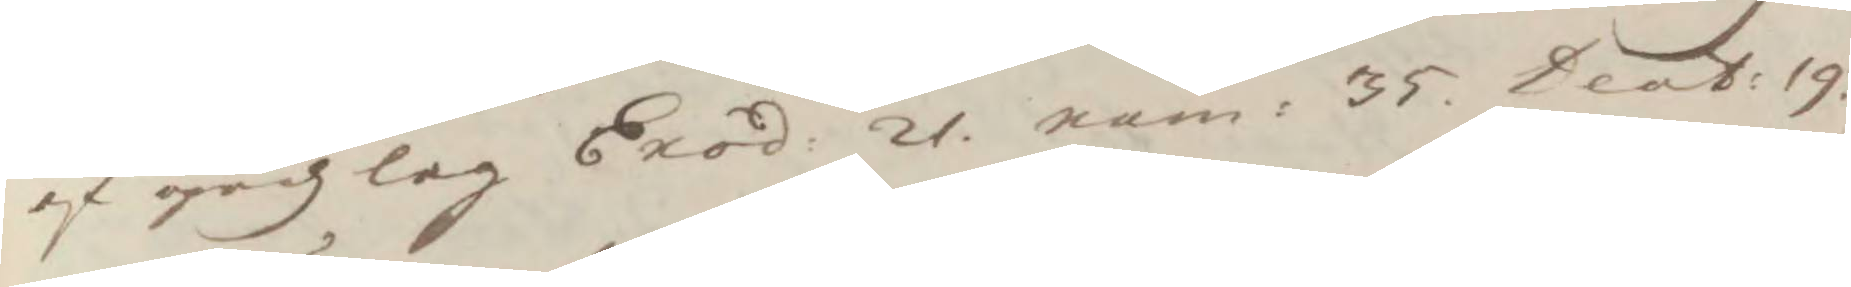af gudzlag Exod: 21. nam: 35. Deab: 19. 
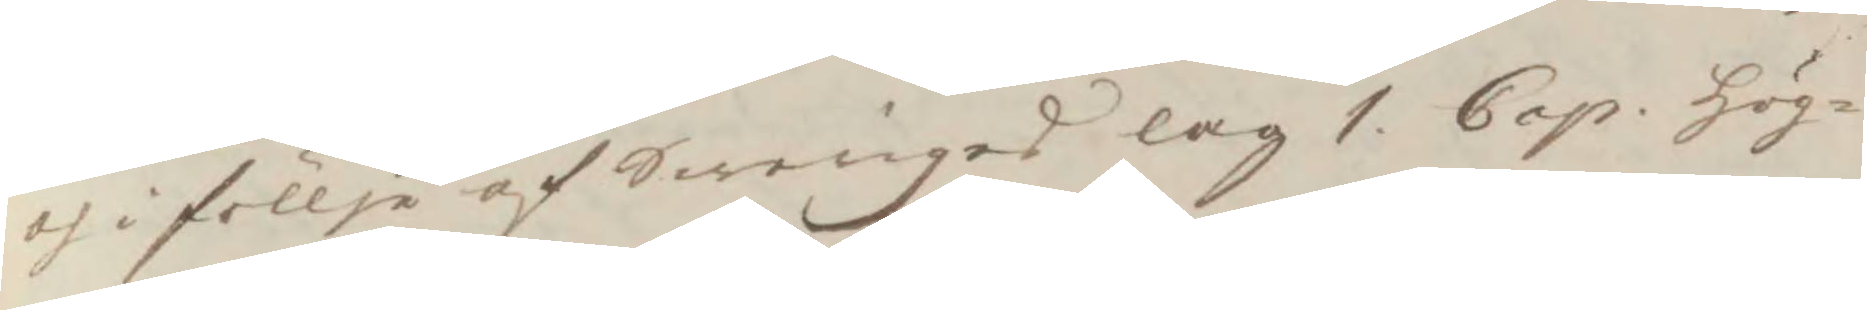och i föllje af Sweriges lag 1. Cap: Hög¬ 
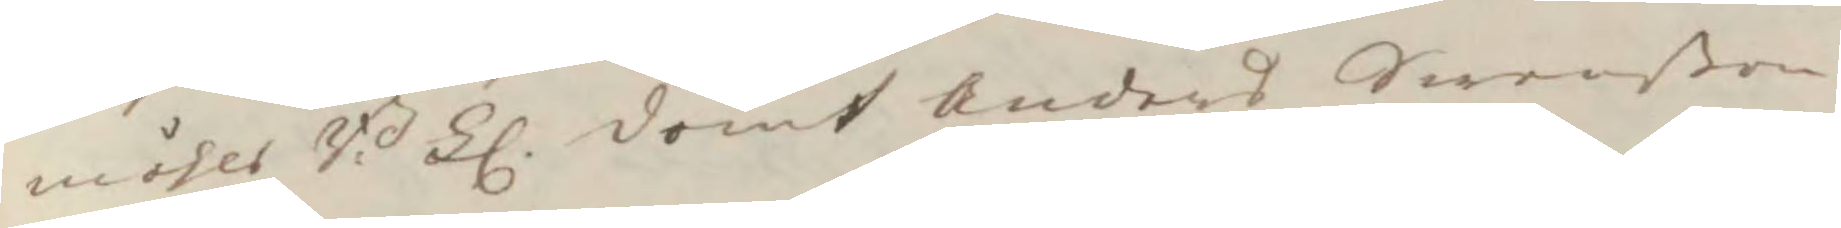måhls B:Ll dömt Anders Swenßon 
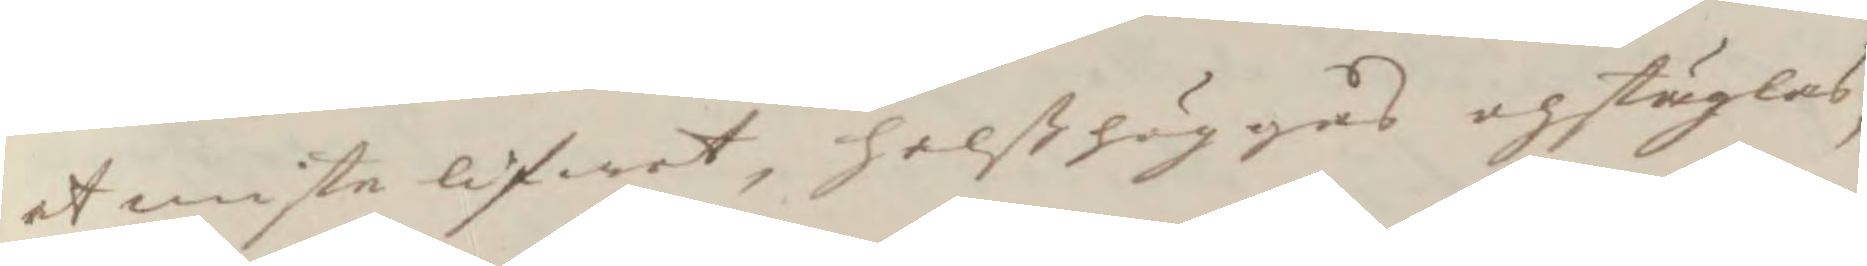et miste lifwet, halßhuggas och stäglas,
